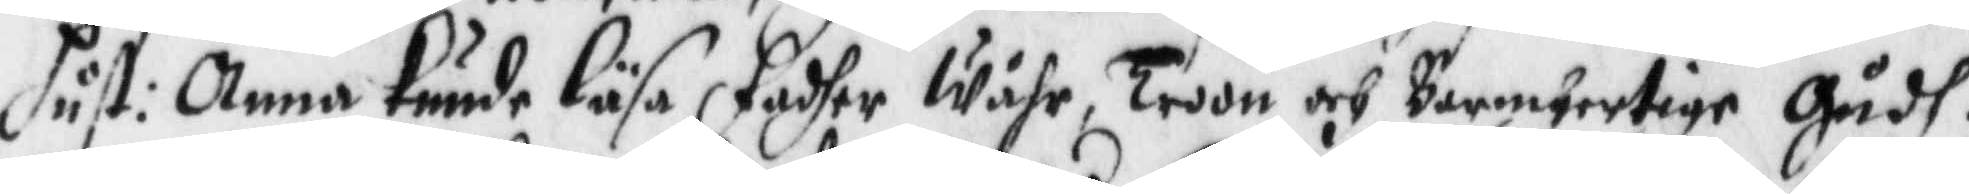hust: Anna kunde läsa fadher Wåhr, Troon och Bermhertige Gudh.
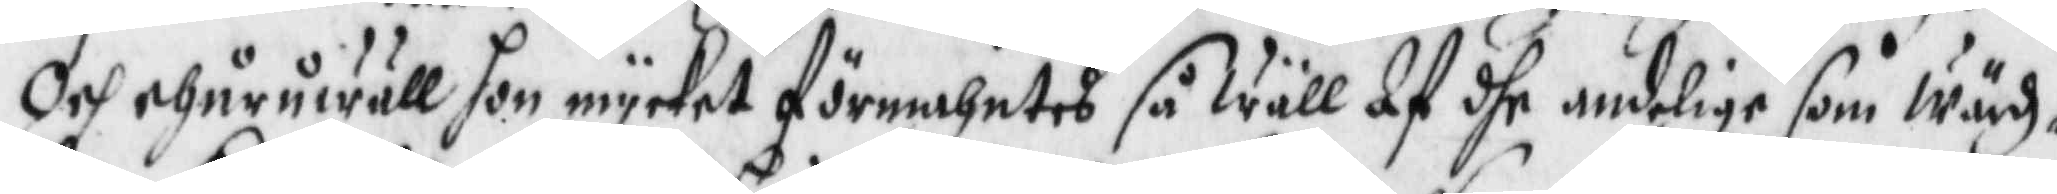Och ehuruwäll hon mycket förmahntes så wäll af dhe andelige som Wärdz¬
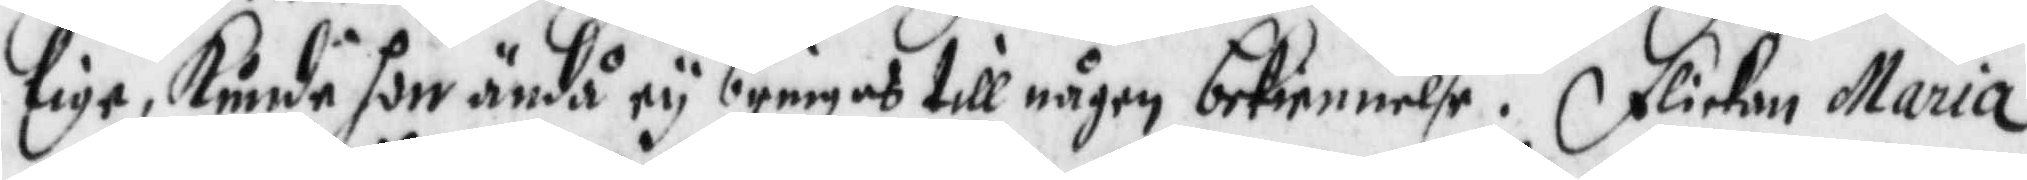lige, kunde hon ändå ey bringas till någon bekennelse. Flickan Maria
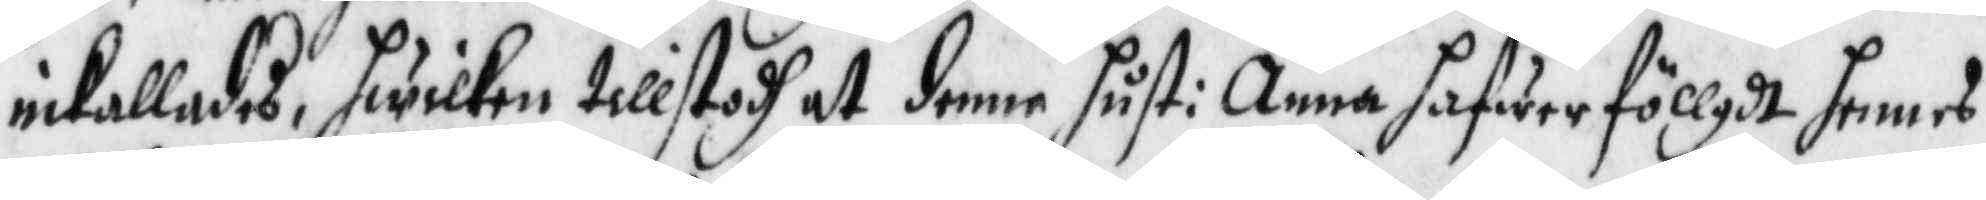inkallades, hwilken tillstodh at denne hust: Anna hafwer föllgdt hennes
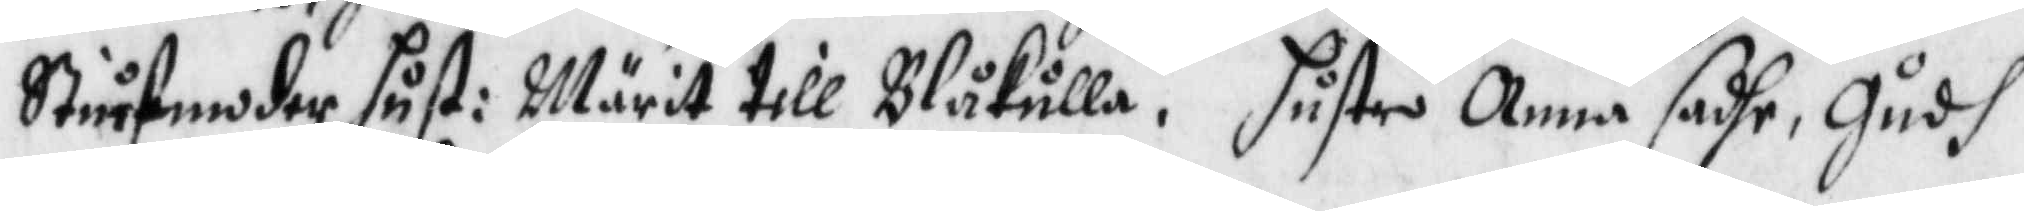Stiufmoder hust: Märit till Blåkulla. Hustru Anna dashe, Gudh
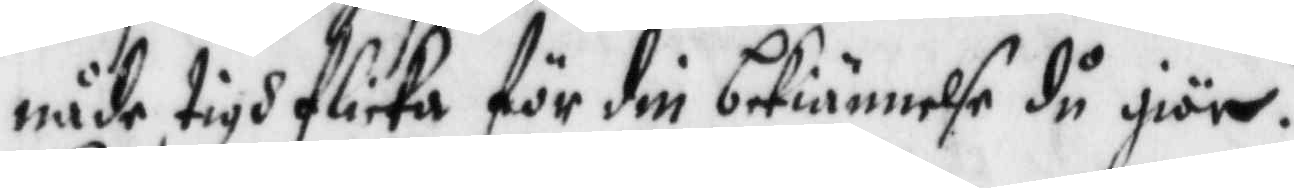nåde tigh flicka för din bekiännelse du giör.
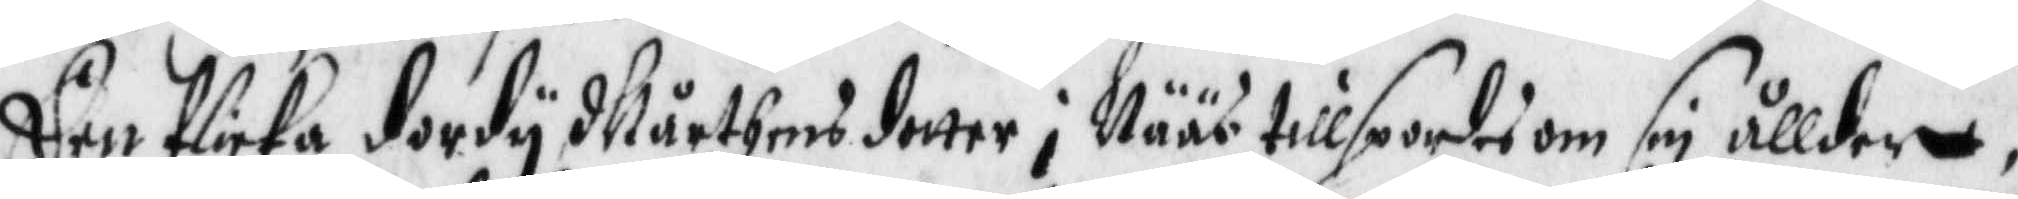Dhen flicka dordy Mårthensdotter i Nääs tillspordes om sin ållder,
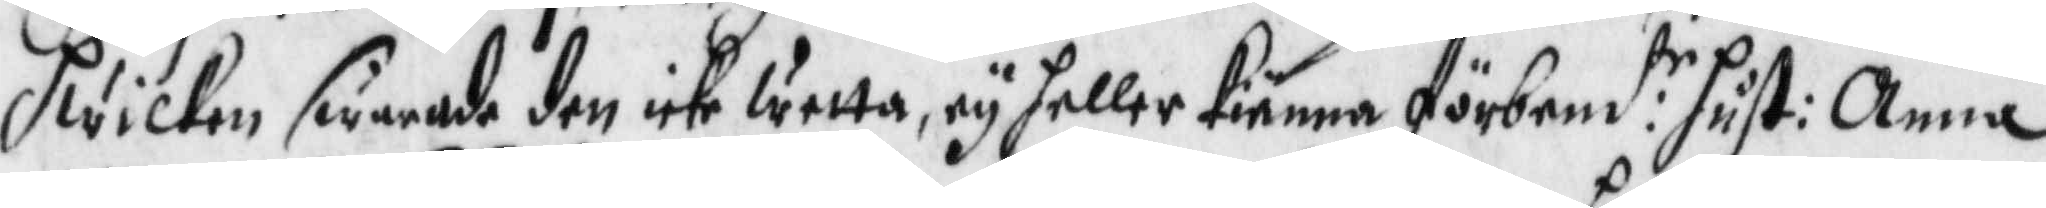hwilken swarade den icke wetta, ey heller kiänna förbem:te hust: Anna
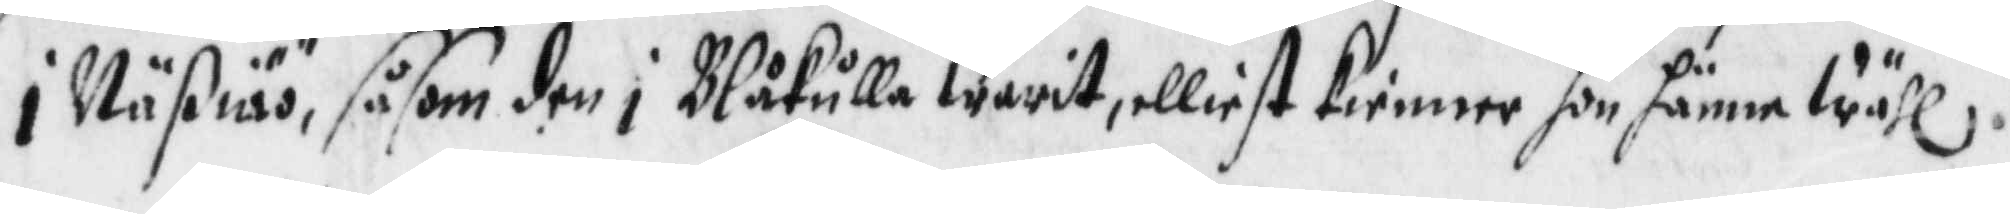i Näßiöö, såsom den i Blåkulla warit, elliest kienner hon hänne wähl.
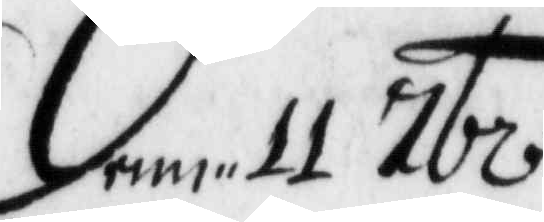Denn 11 tbr.
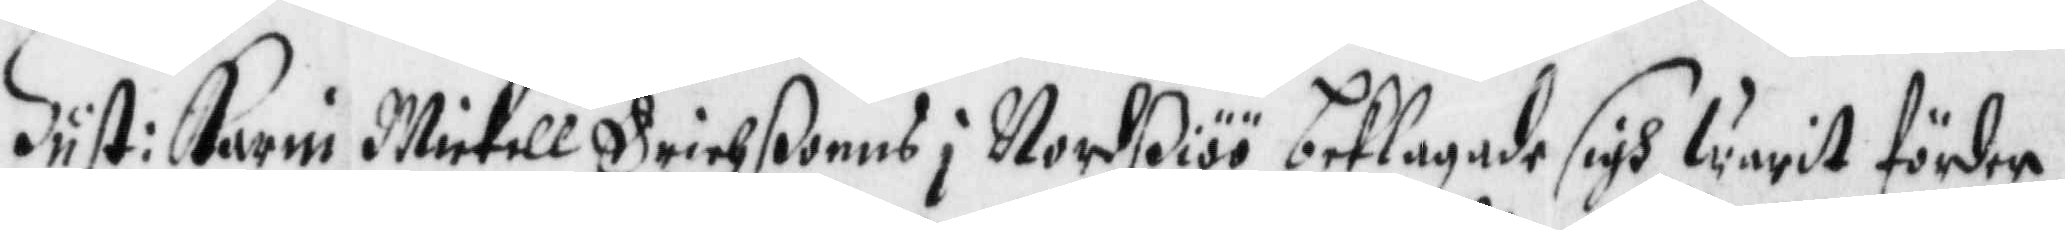Hust: Karin Michell Erichßonns i Nordßiöö beklagade sigh warit förder
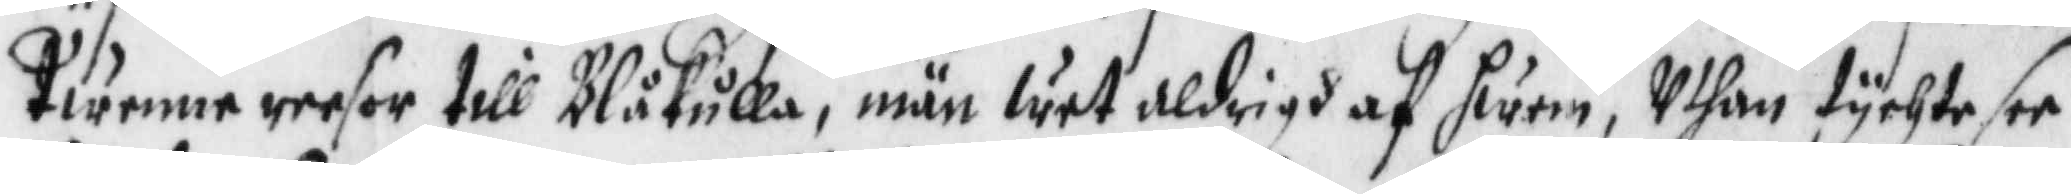Twenne reesor till Blåkulla, män wet aldrigh af hwem, Uthan tychte see
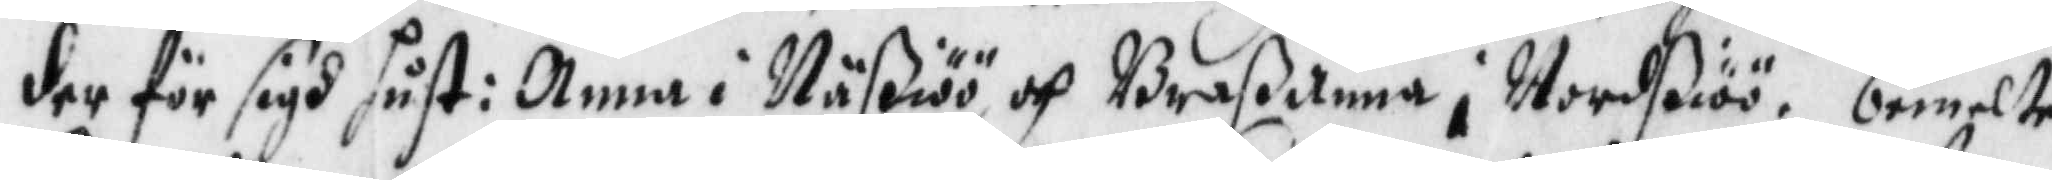der för sigh hust: Anna i Näßiöö och Braßanna i Nordßiöö. bemelte
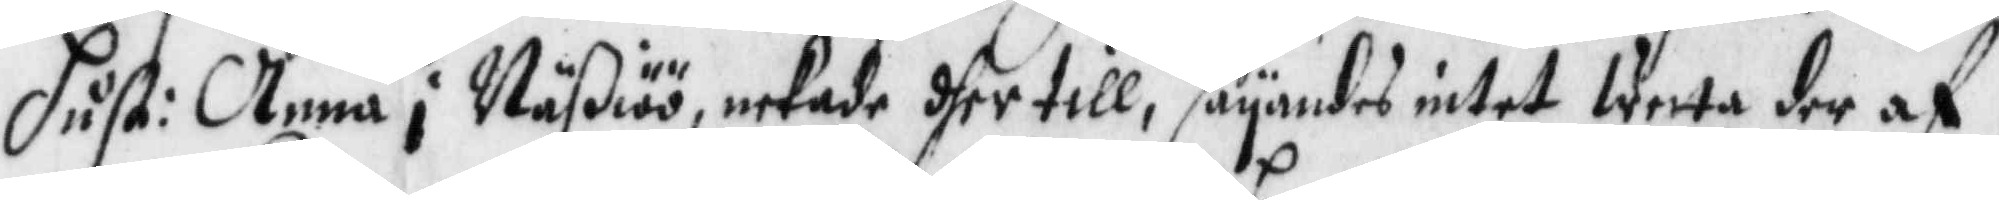hust: Anna i Näßiöö, nekade dher till, sayandes intet wetta der af,
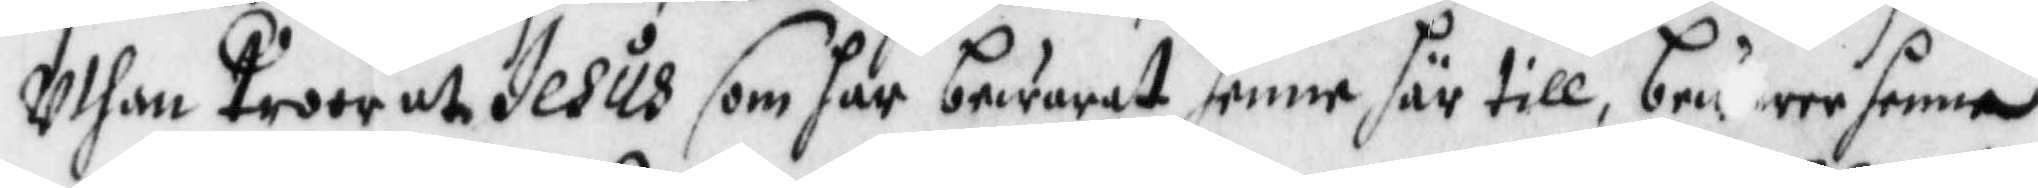Uthan Troor at Jesus som har bewarat henne här till, beware henne
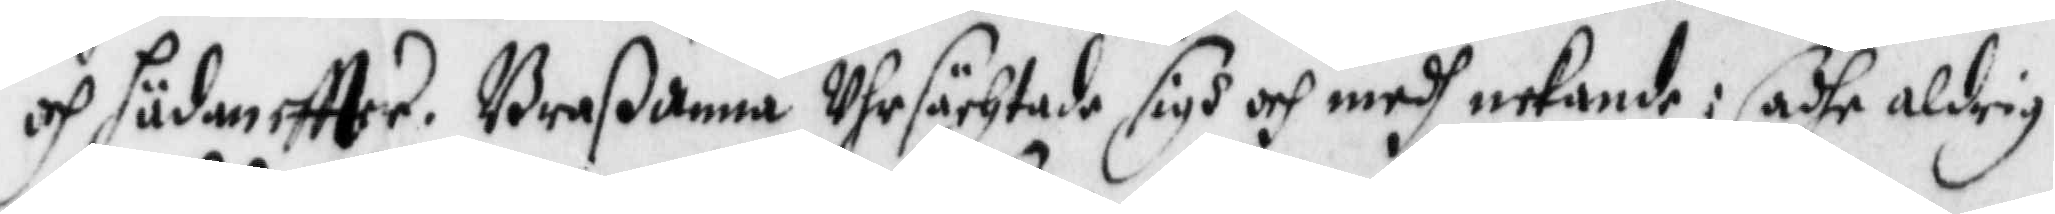och hädan eftter. Braßanna Uhrsächtade sigh och medg nekande: sade aldrig
